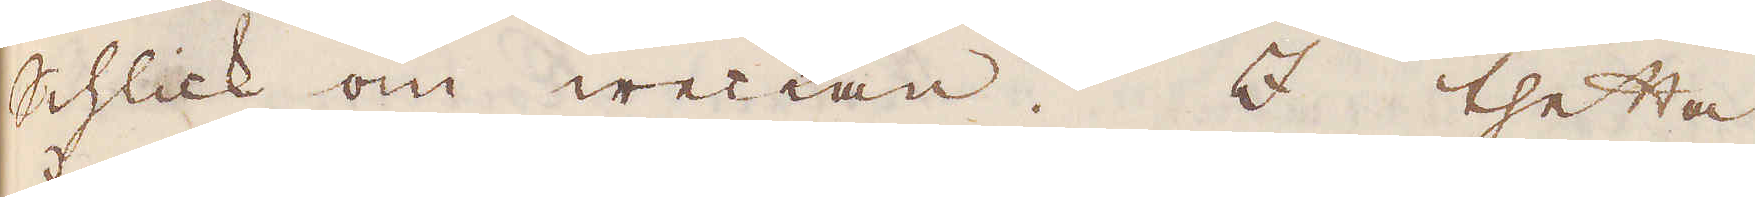Schlick om weckan. I thetta
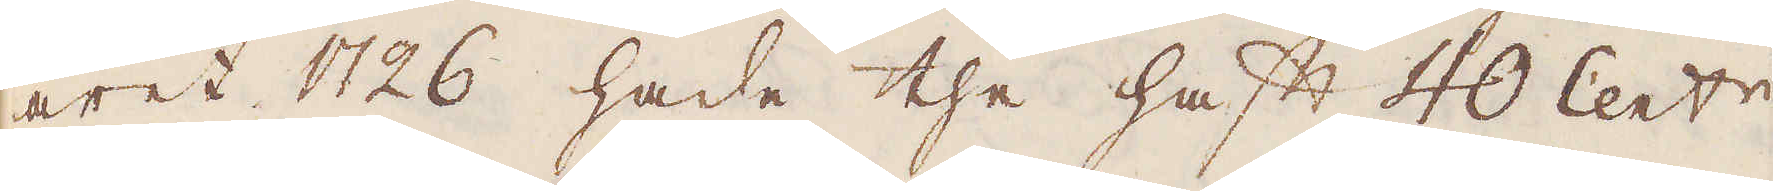året 1726 hade the haft 40 Cent:r
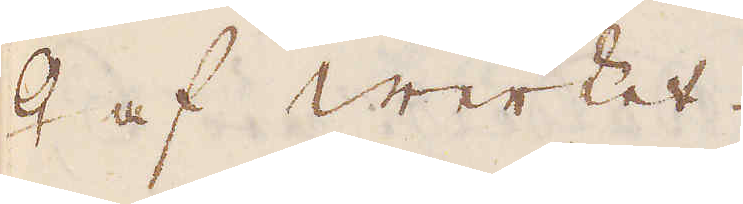♀ af Werket.
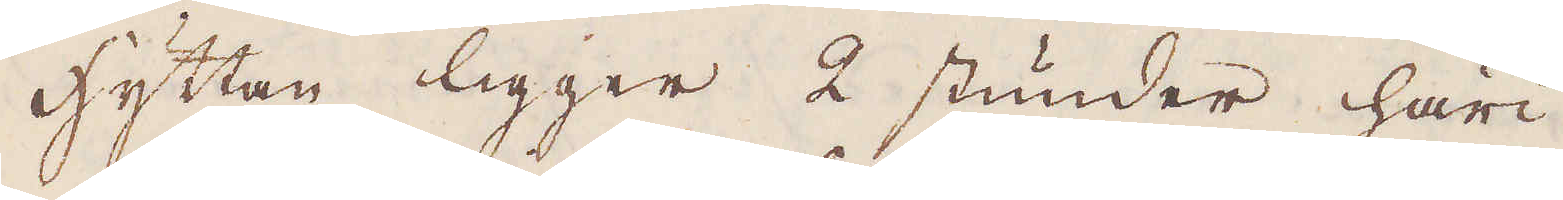hyttan ligger 2 stunder häri-
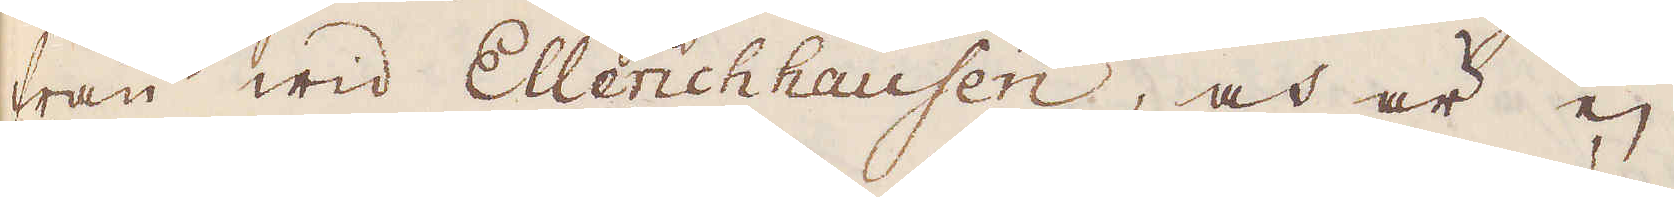från wid Ellerichhausen, och är ej
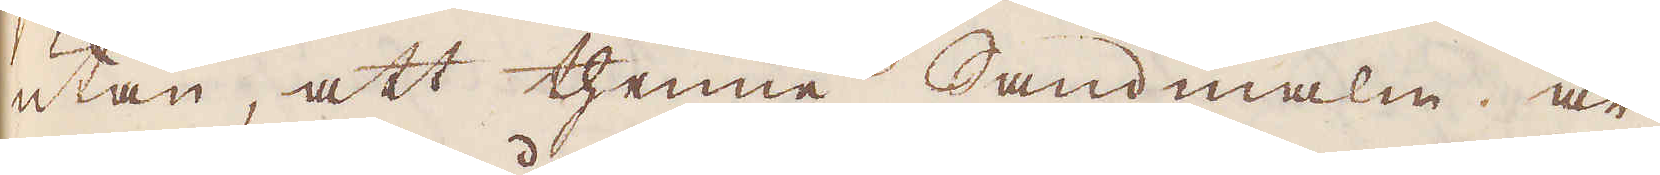utan, att thenne Sandmalm är
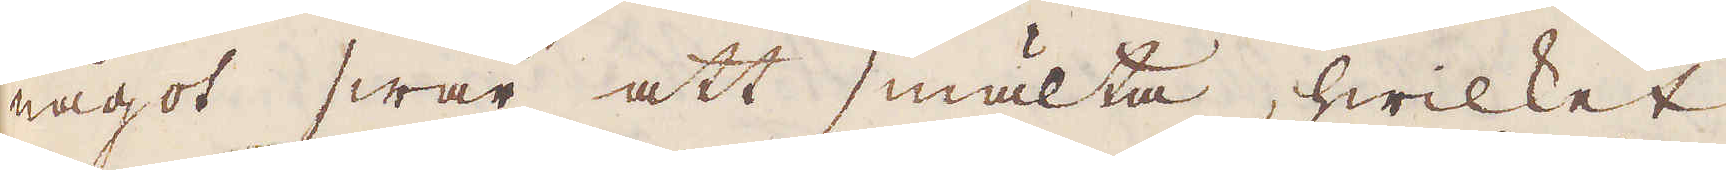något swår att smälta, hwilket
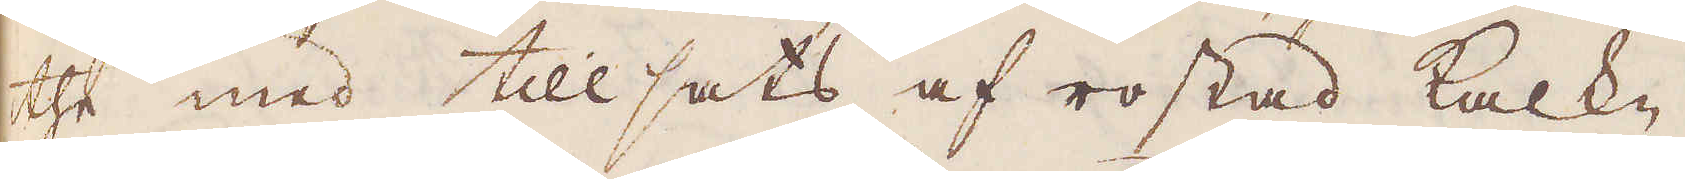the med tillsats af rostad kalck-
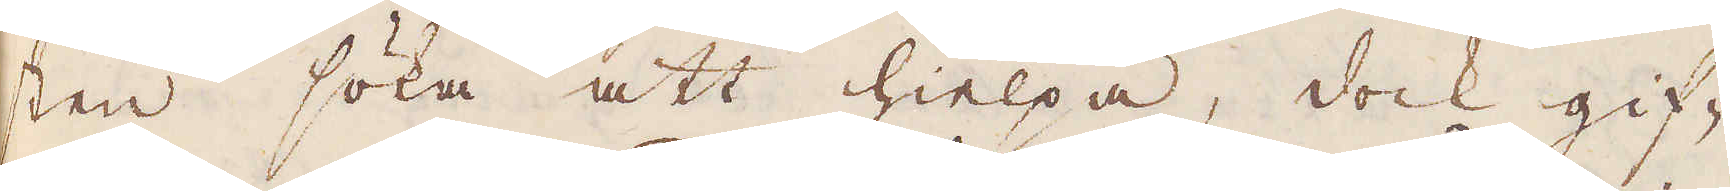sten söka att hielpa, dock gif-
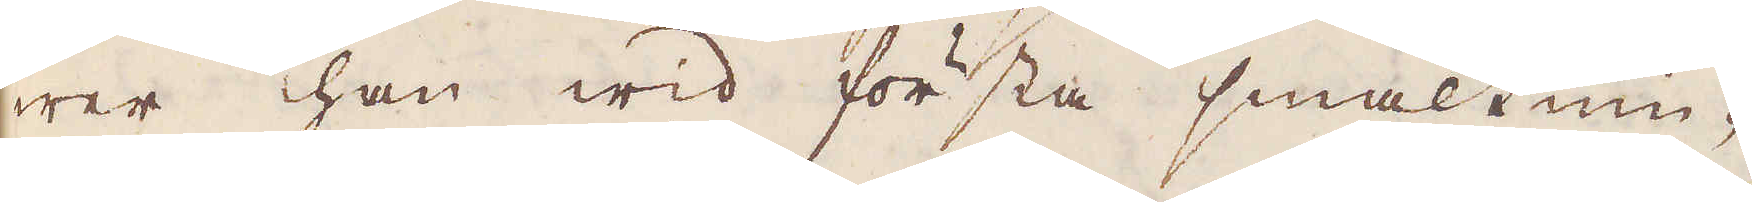wer han wid första smältnin-
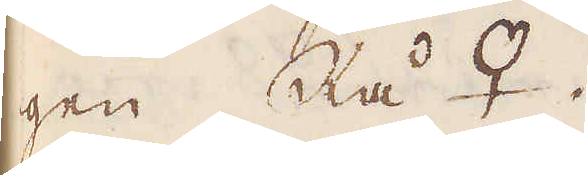gen Rå ♀.
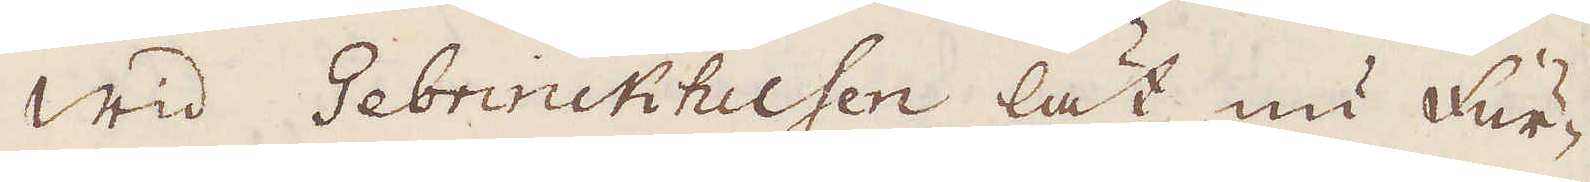Wid Gebrinckhusen lät nu Fur-
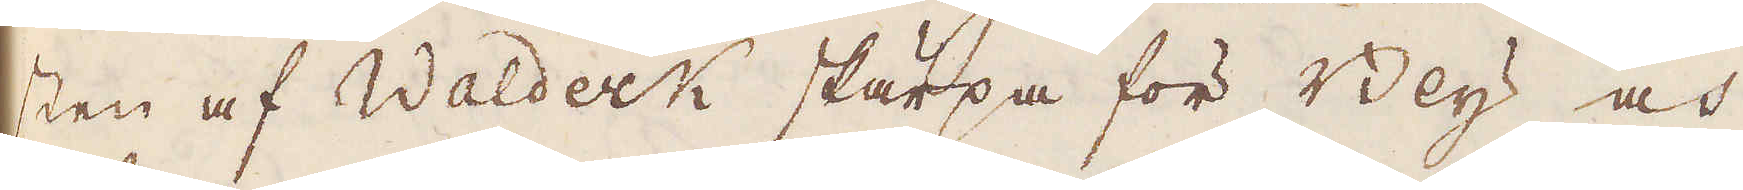sten af Waldeck skärpa för Bly och
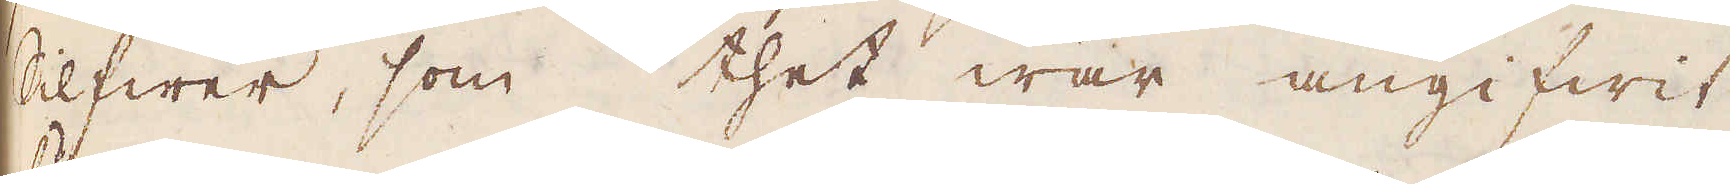Slfwer, som thet war angifwit
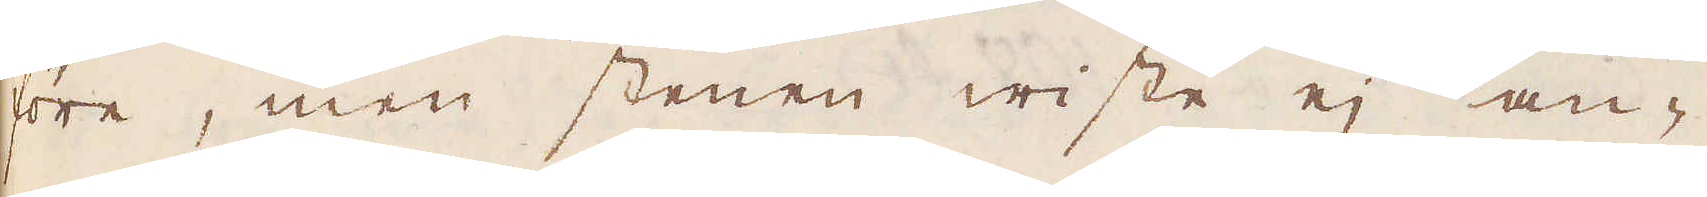före, men stenen wisste ej an-
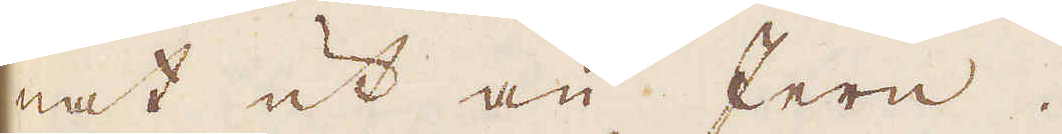nat ut än Jern.
